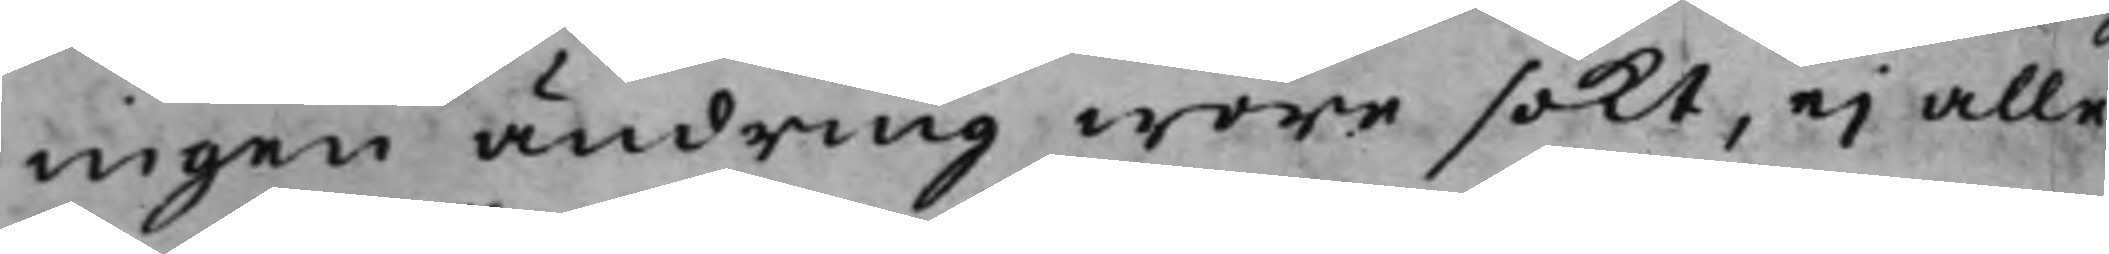ingen ändring wore sökt, ej alle¬
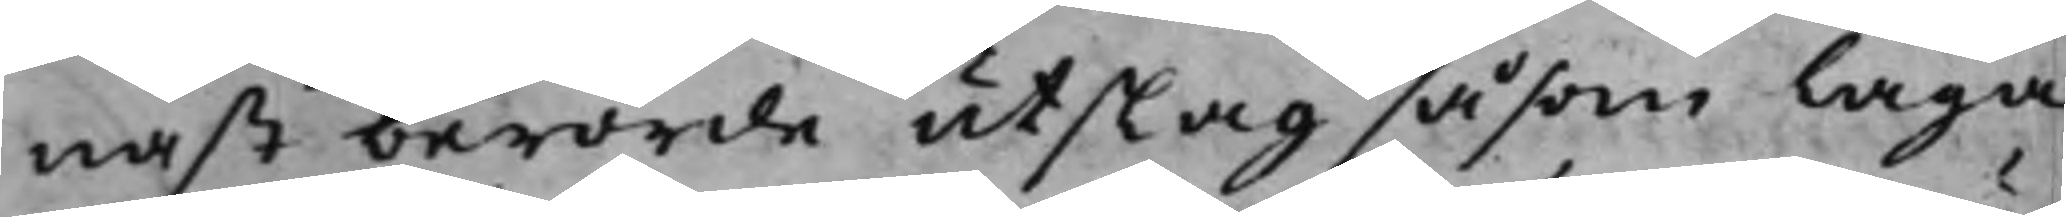nast berörde utslag såsom laga
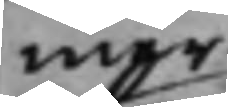mer
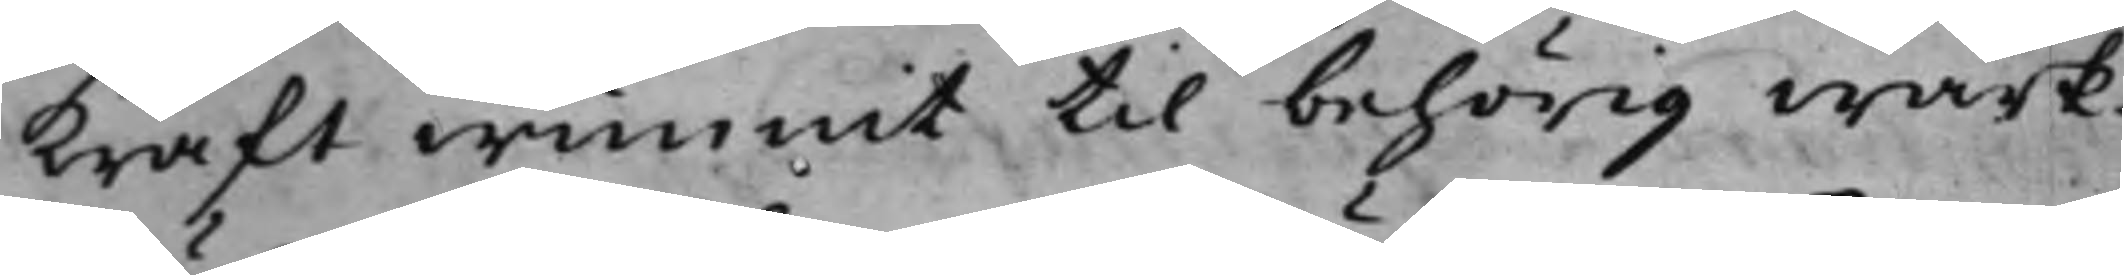kraft wunnit till behörig wärk¬
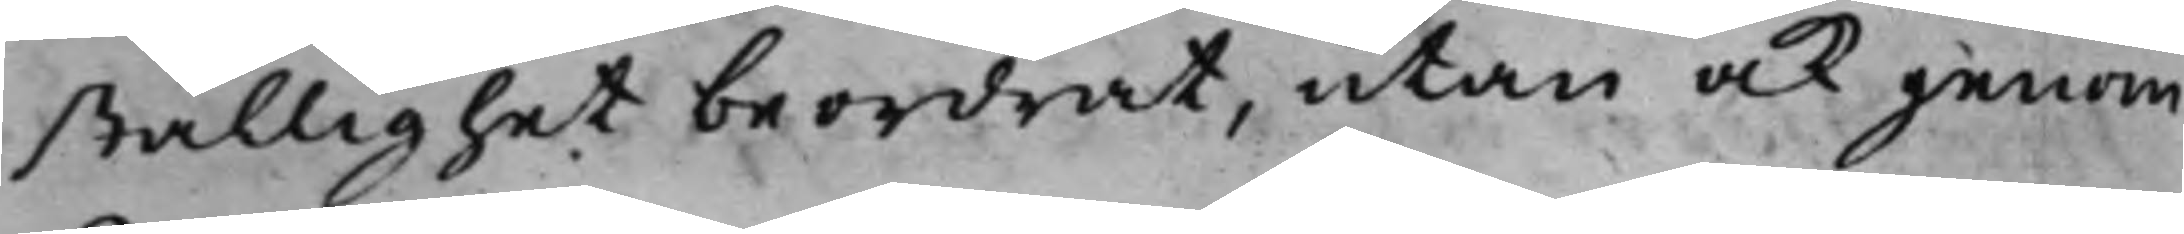ställighet beordrat, utan ock genom
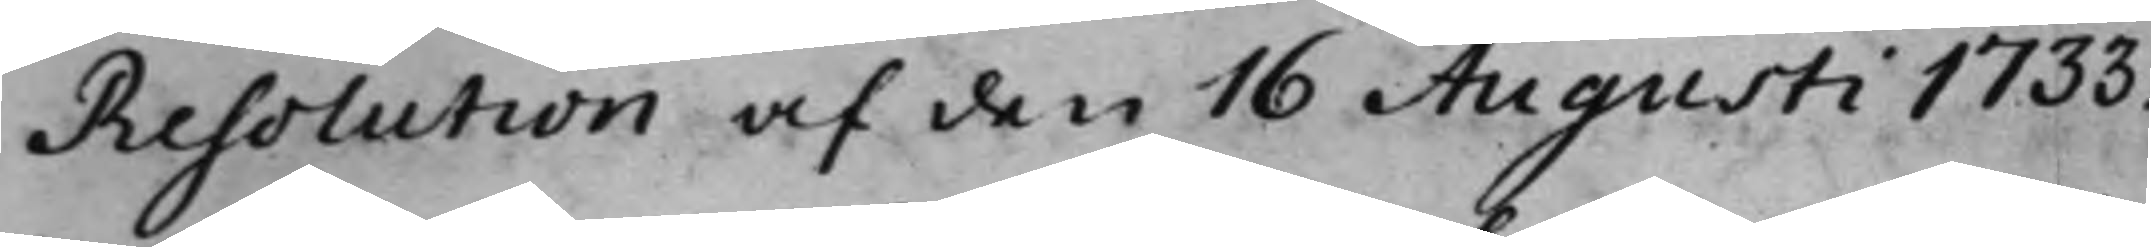Resolution af den 16 Augusti 1733.
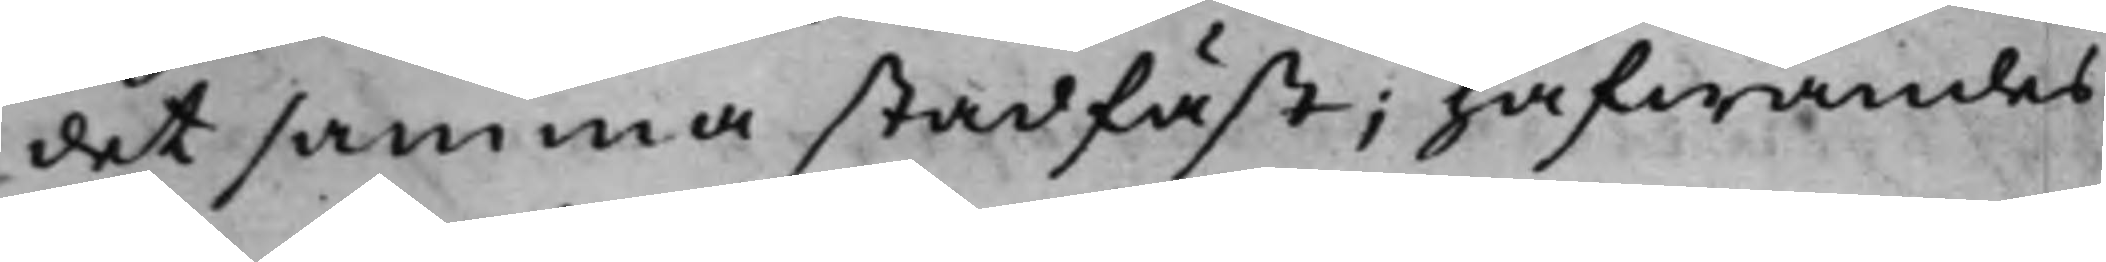det samma stadfäst; hafwandes
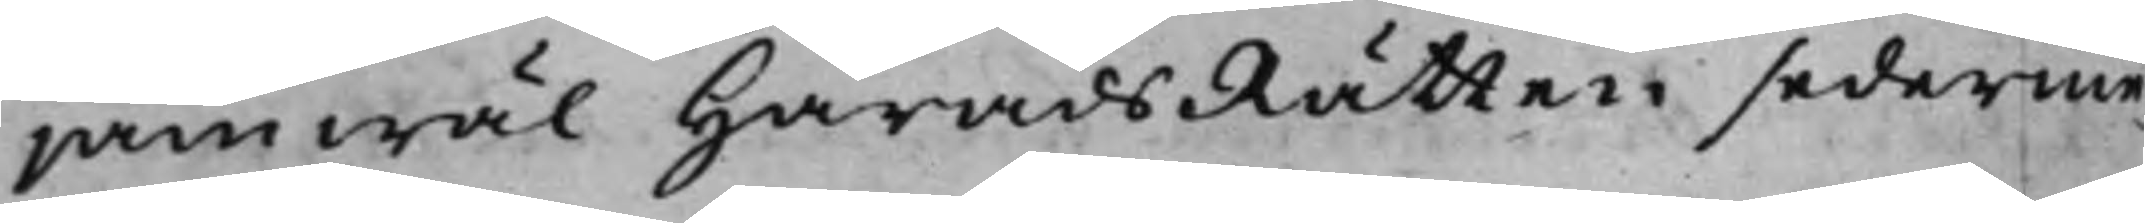jämwäl HäradsRätten sederme¬
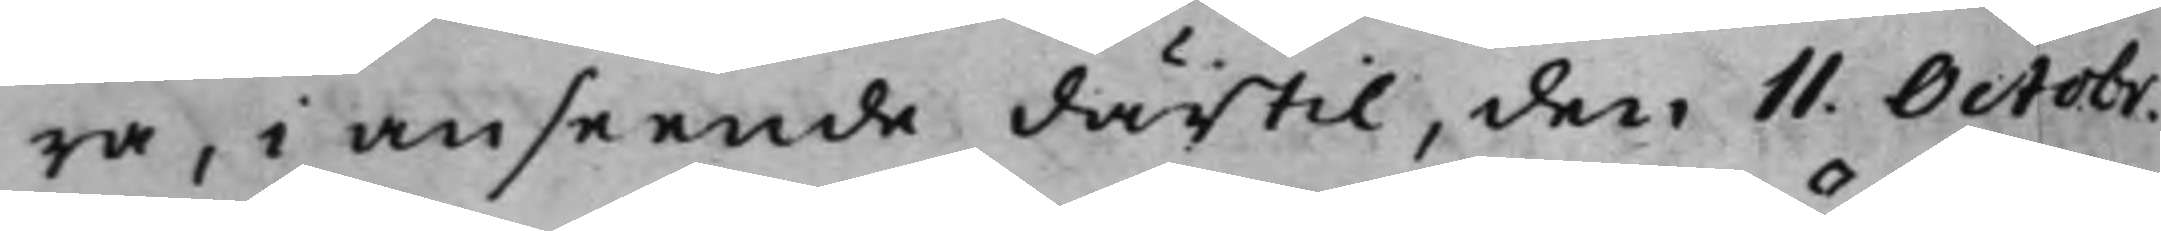ra, i anseende därtill, den 11. Octobr.
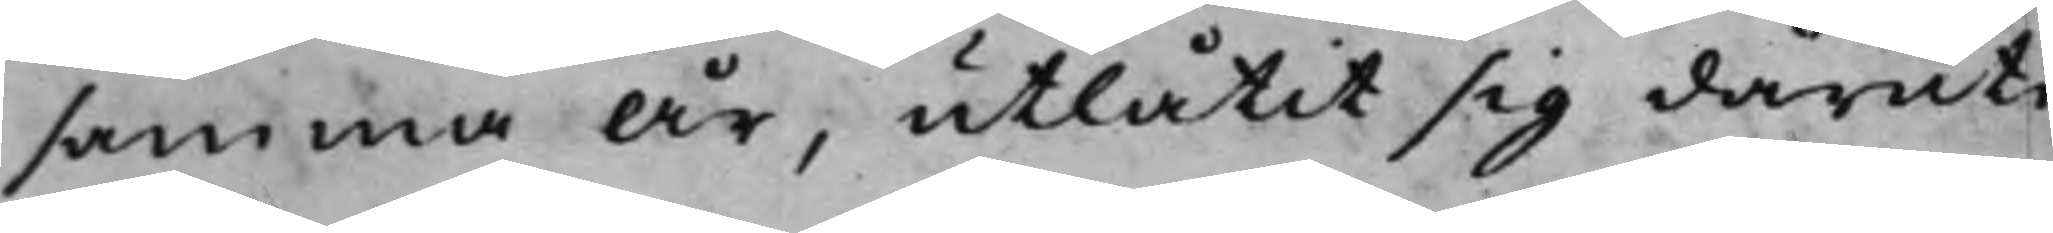samma år, utlåtit sig däruti
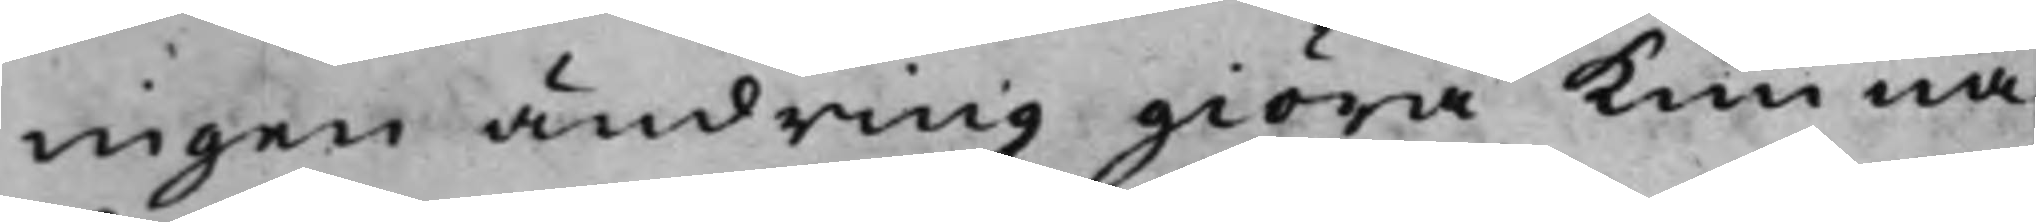ingen ändring giöra kunna:
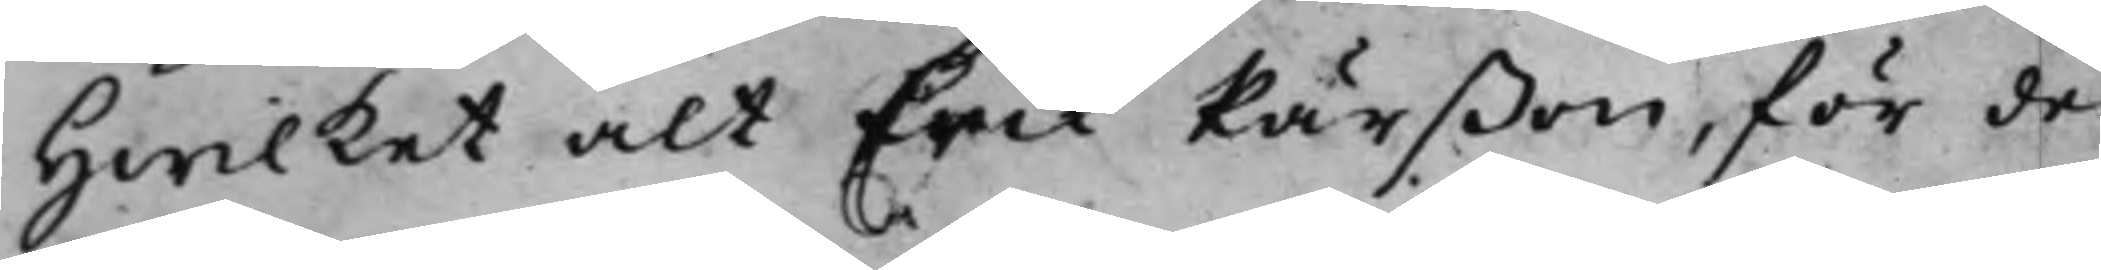Hwilket alt Erik Pärßon, för de
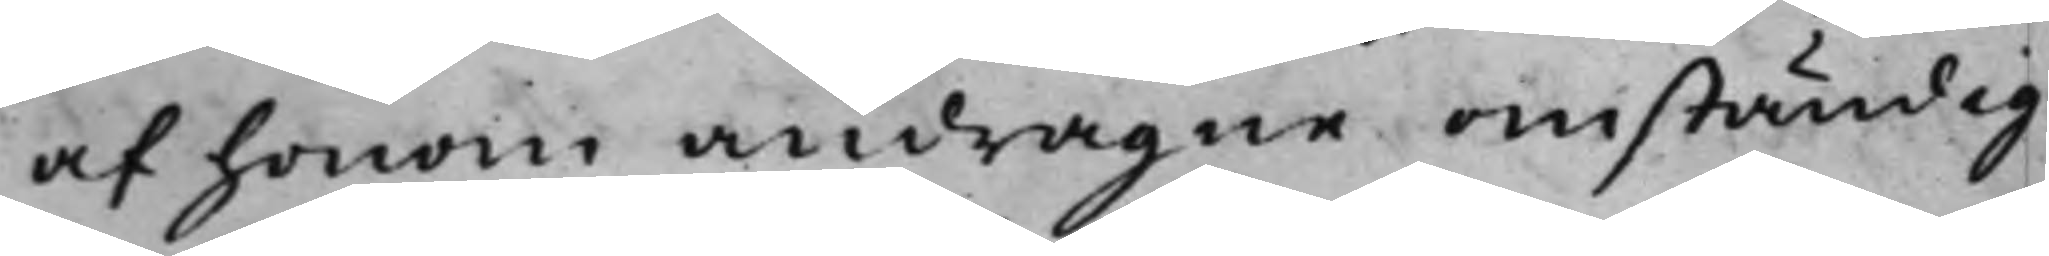af honom andragne omständig¬
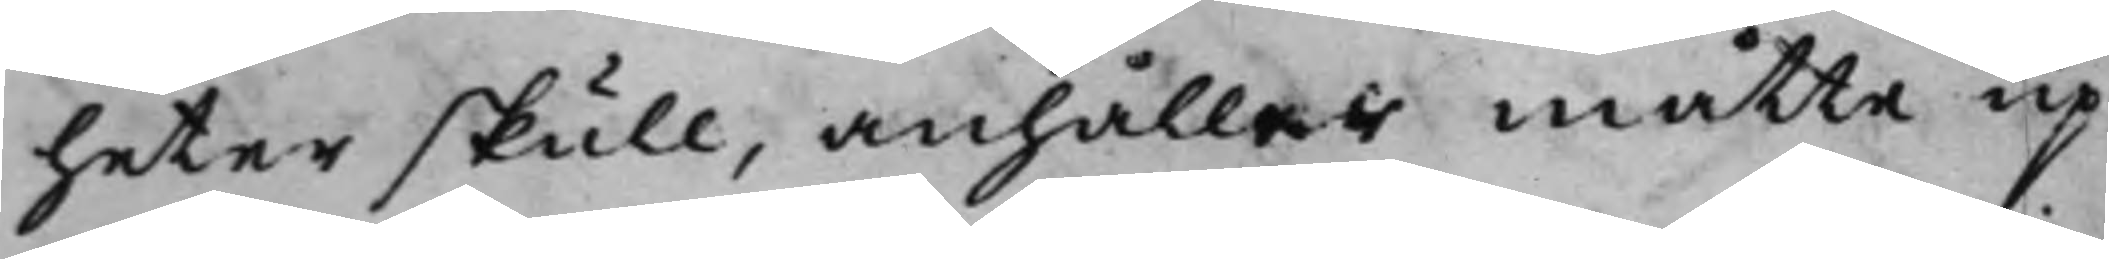heter skull, anhåller måtte up¬
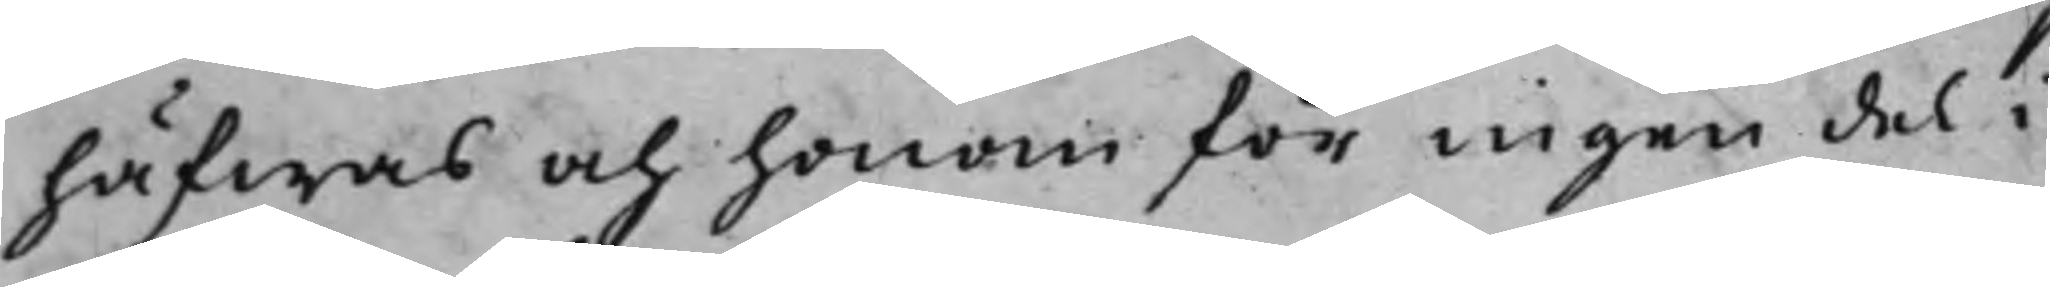häfwas och honom för ingen del i
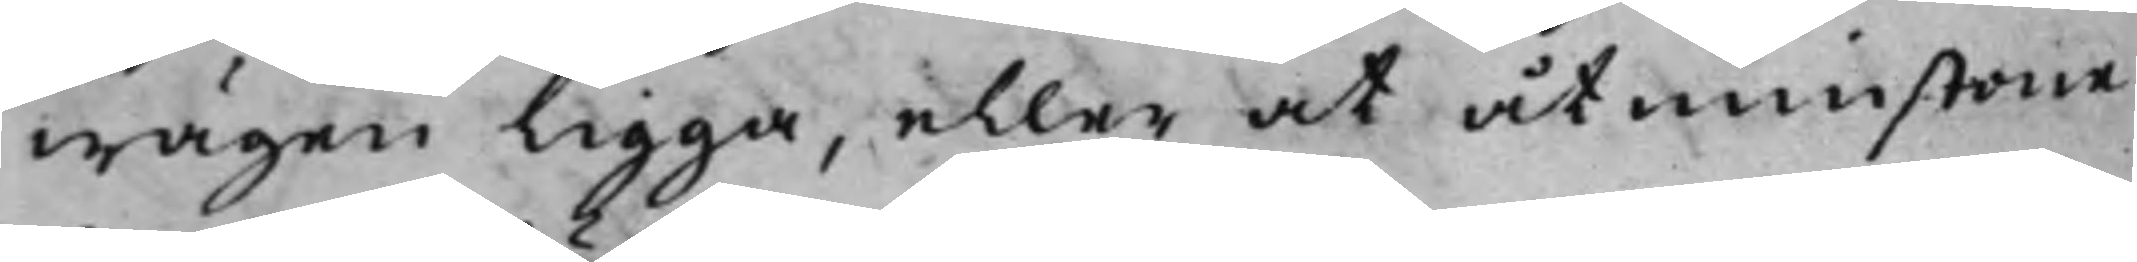wägen ligga, eller at åtminstone
